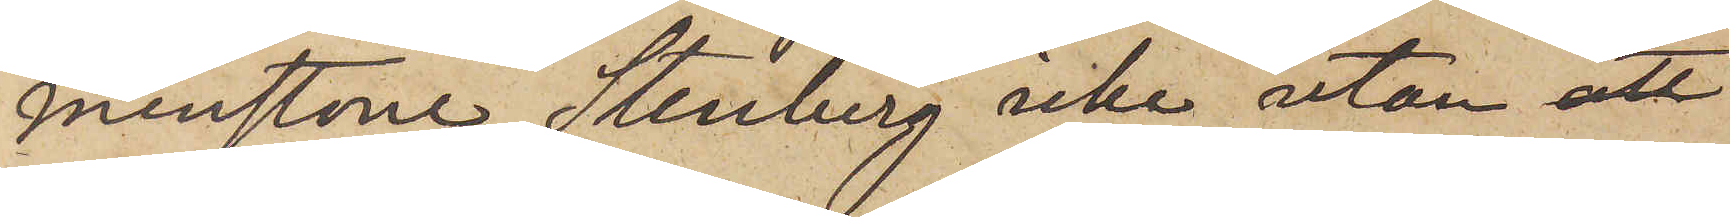minstone Stenberg icke utan att
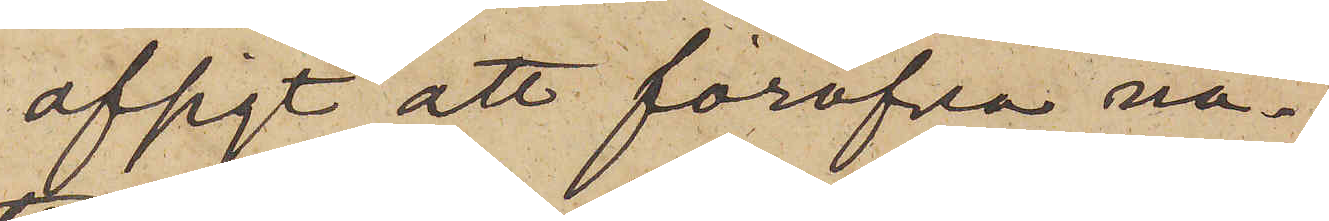afsigt att föröfva nå¬
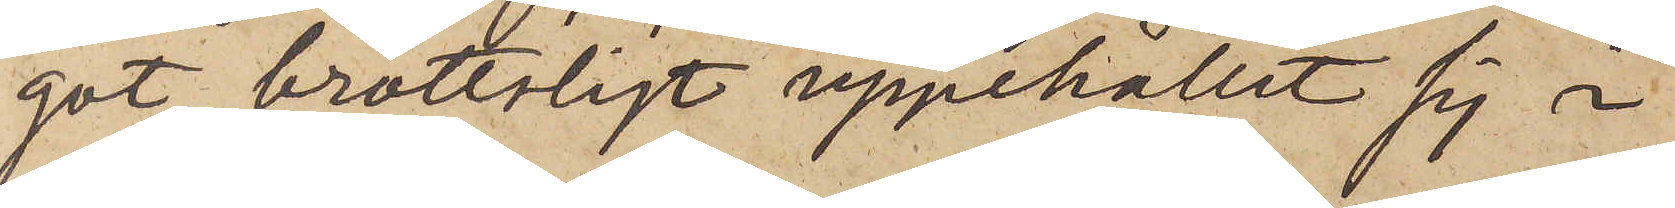got brottsligt uppehållit sig i
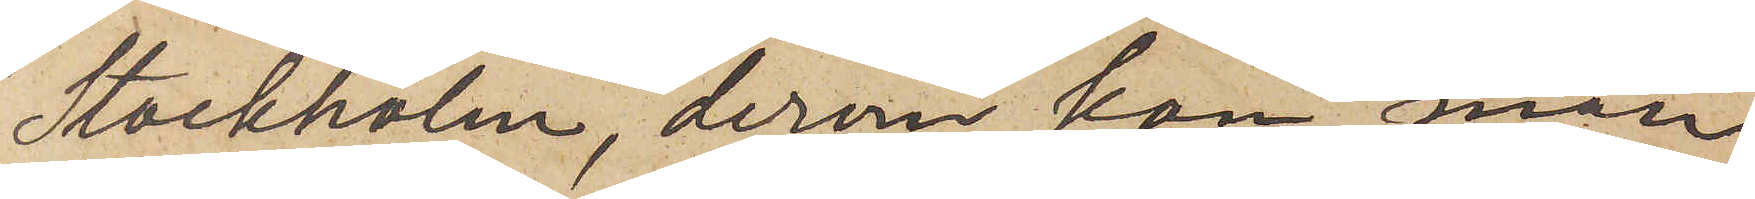Stockholm, derom kan man
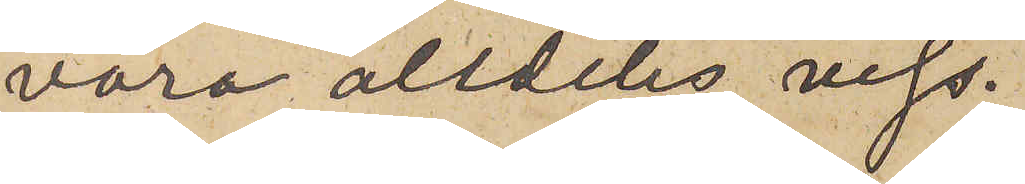vara alldeles viss.
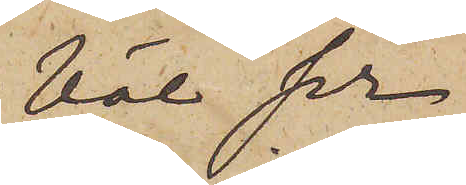Väl ser
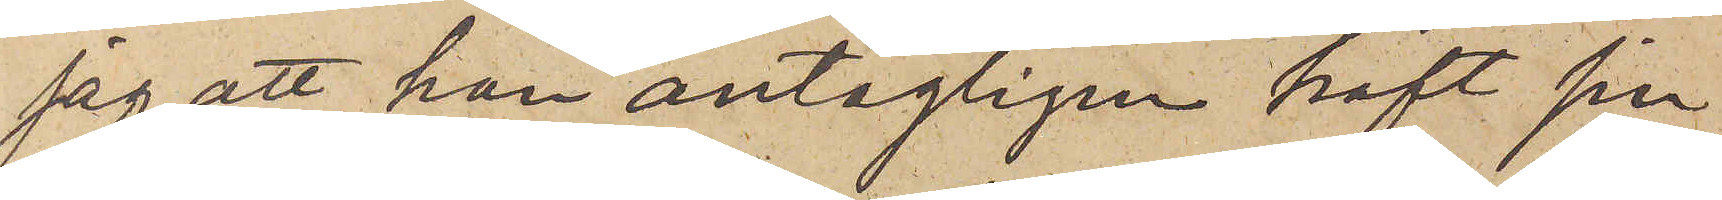jag, att han antagligen haft sin
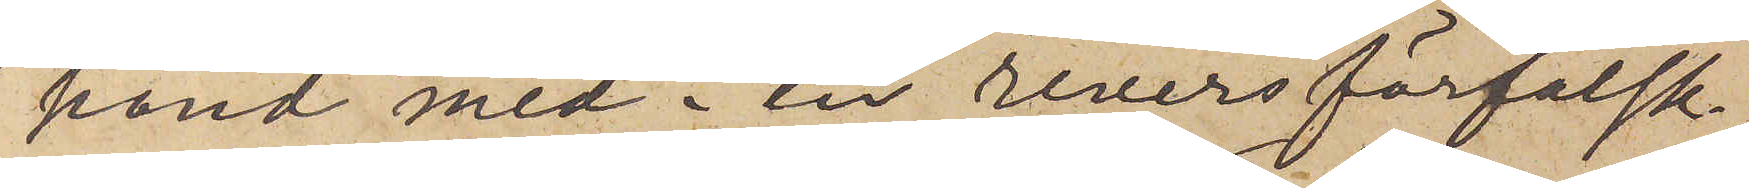hand med i en reversförfalsk¬
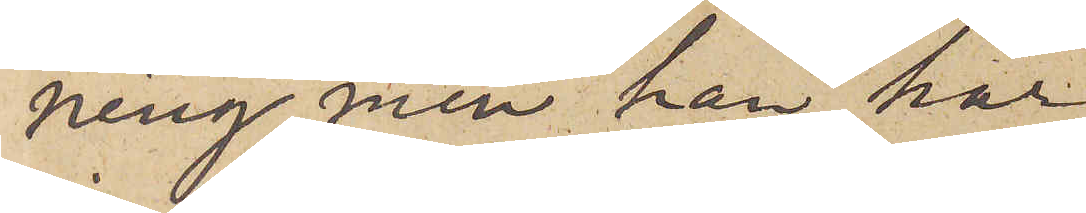ning, men han har
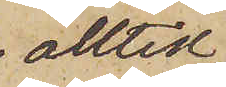alltid
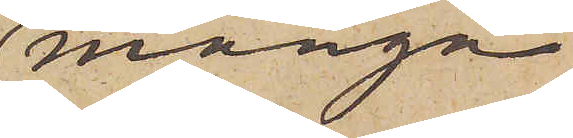många
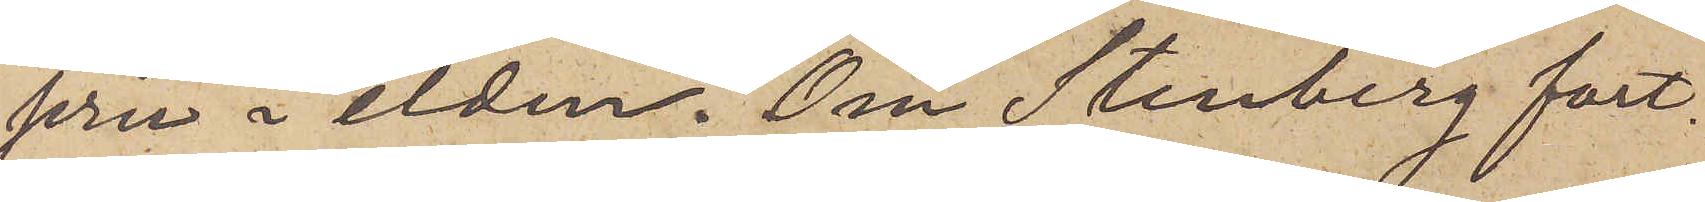jern i elden. Om Stenberg fort¬
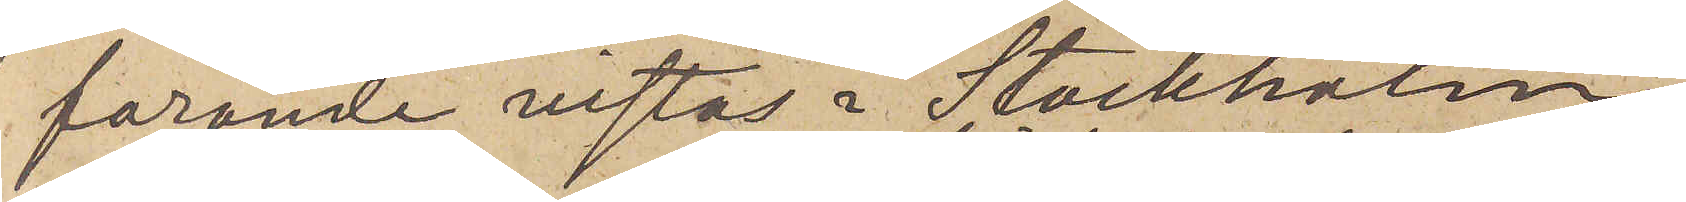farande vistas i Stockholm
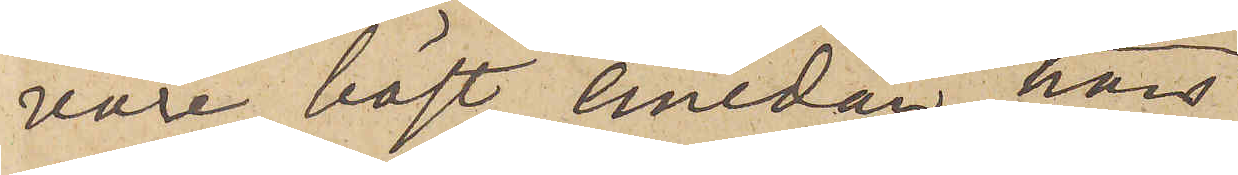vore bäst, emedan hans
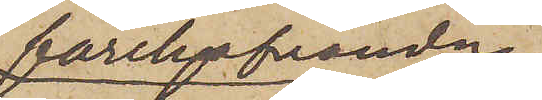förehafvanden 
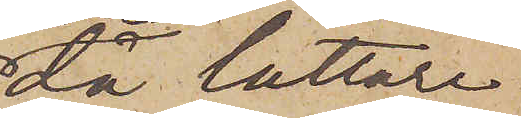då lättare
